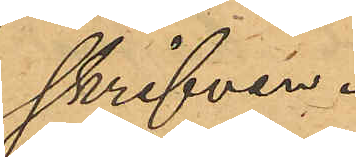skrifven.
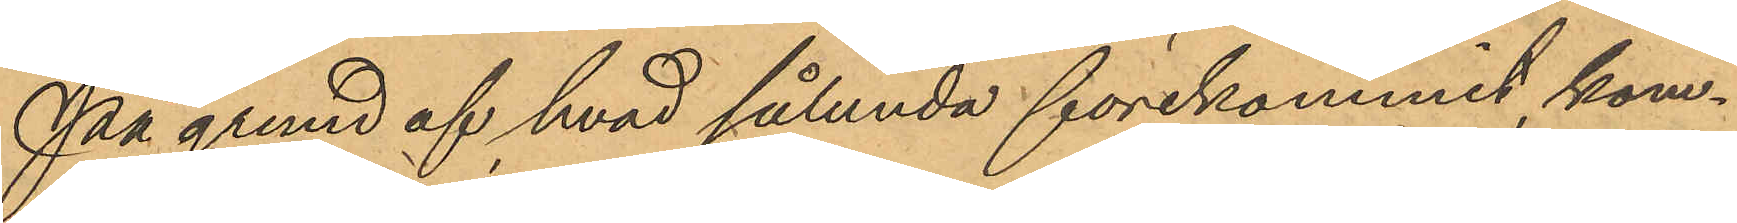På grund af hvad sålunda förekommit, kom¬
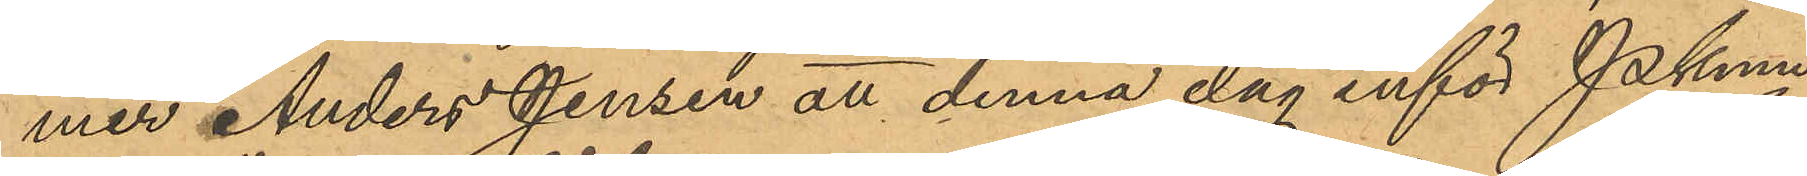mer Anders Jensen att denna dag inför Pkmn
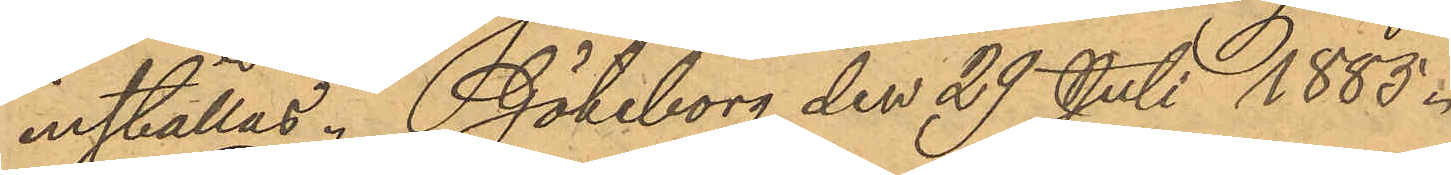inställas. Göteborg den 29 Juli 1885.
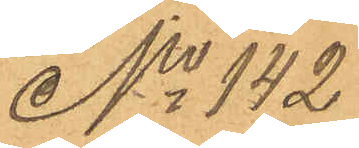No 142
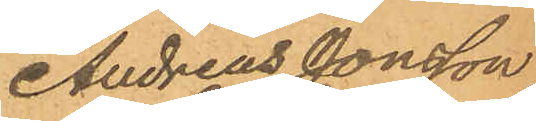Andreas Jonsson
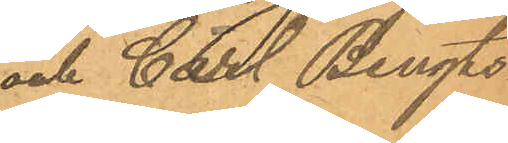och Carl Bengts¬
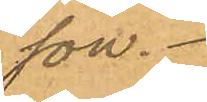son.
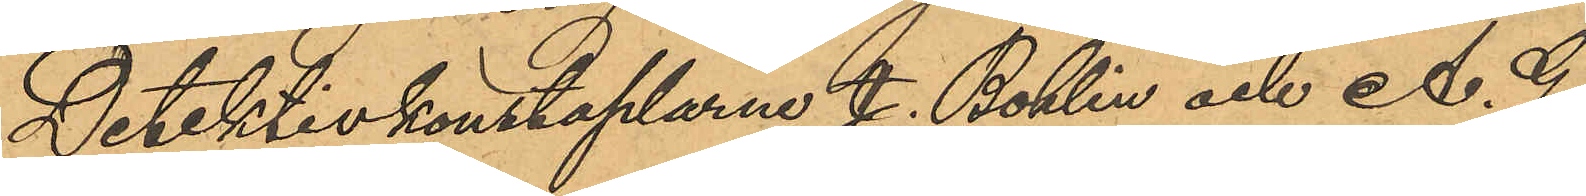Detektivkonstaplarne J. Bohlin och A. G.
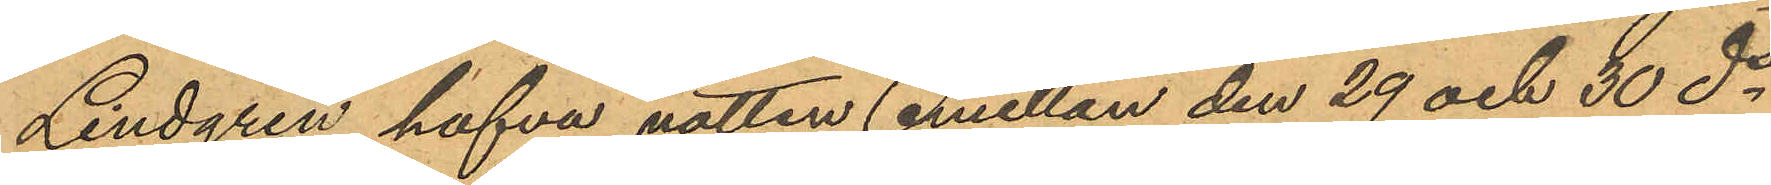Lindgren hafva natten emellan den 29 och 30 ds
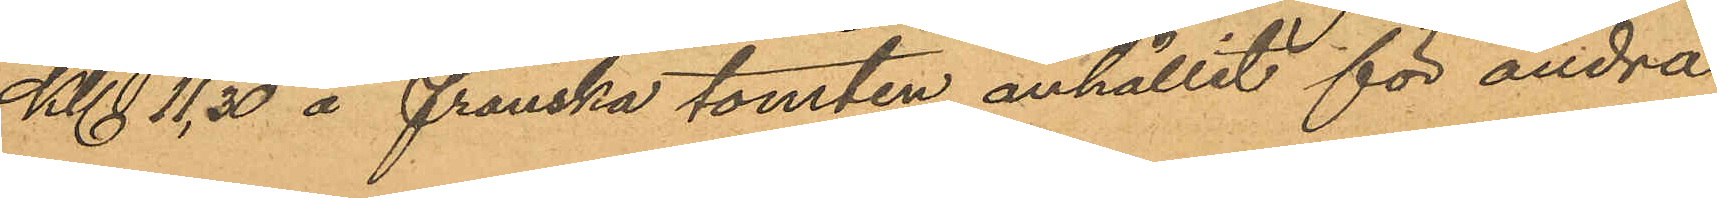Kl 11,30 å franska tomten anhållit för andra
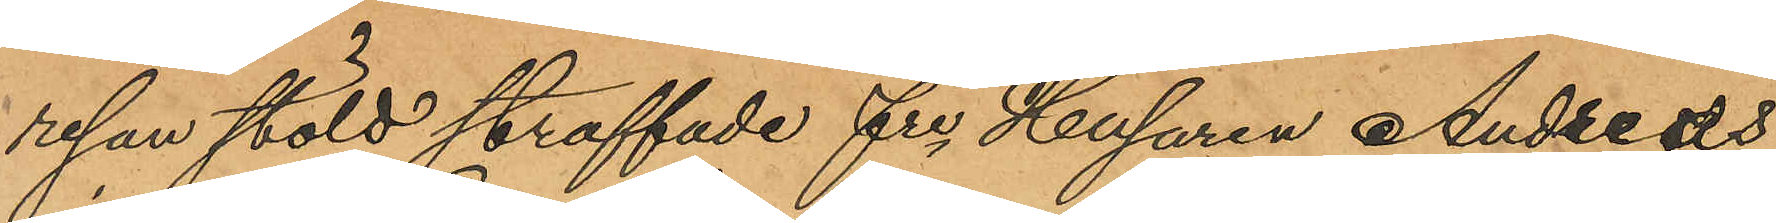resan stöld straffade frr Husaren Andreas
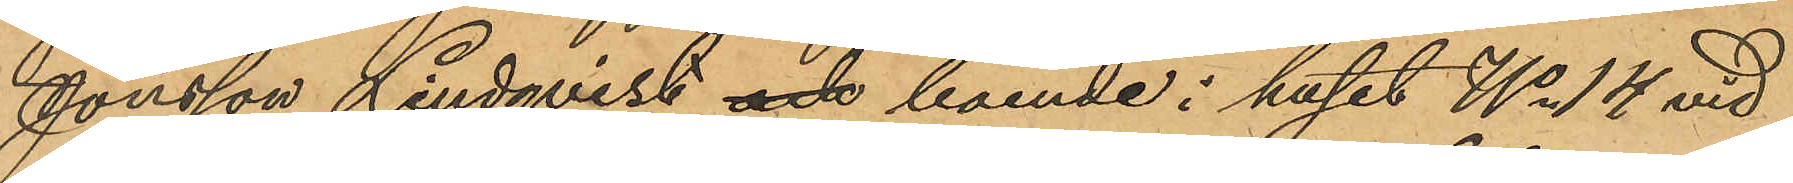Jonsson Lindqvist och boende i huset No 14 vid
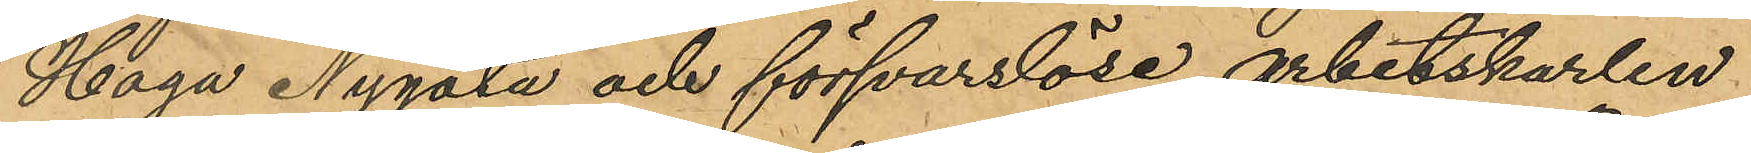Haga Nygata och försvarslöse arbetskarlen
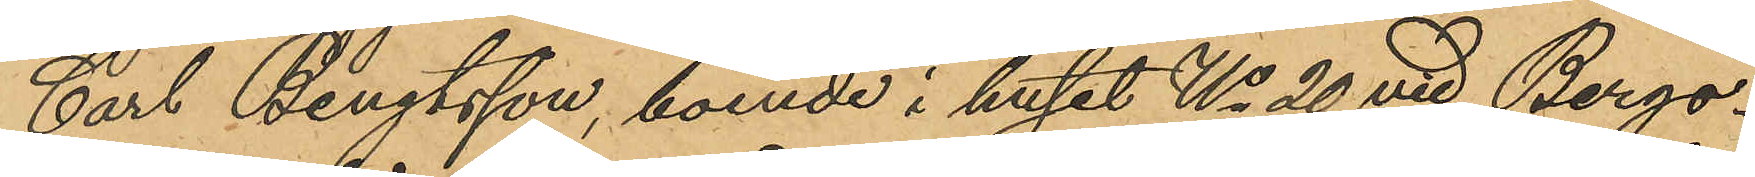Carl Bengtsson, boende i huset No 20 vid Bergs¬
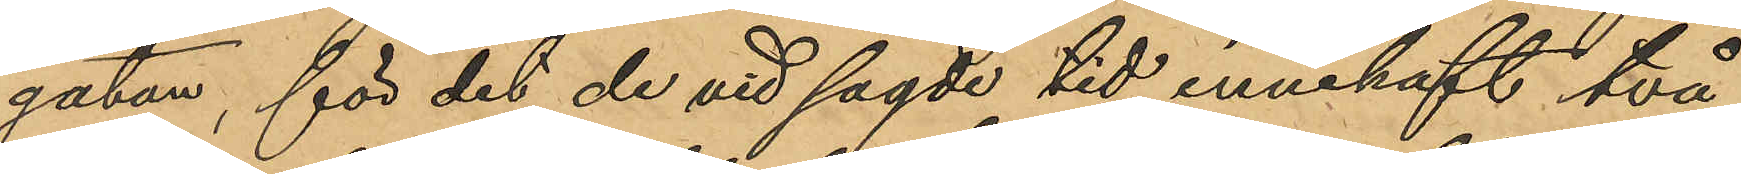gatan, för det de vid sagde tid innehaft två
